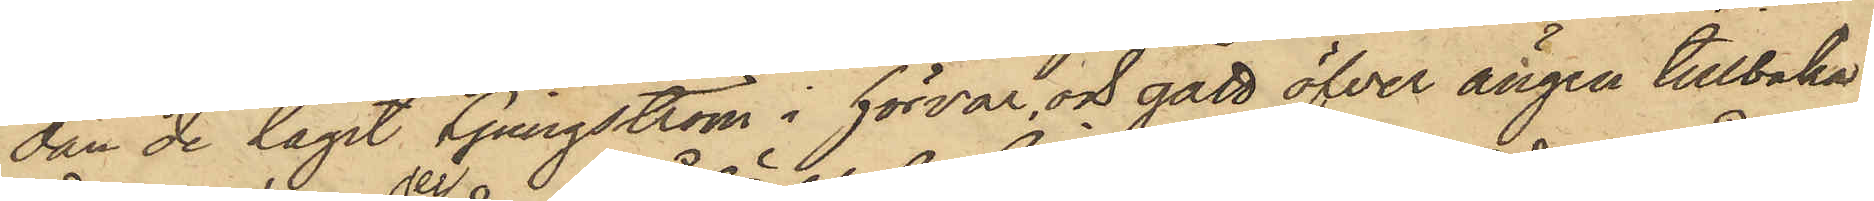dan de tagit Ljungström i förvar, och gått öfver ängen tillbaka
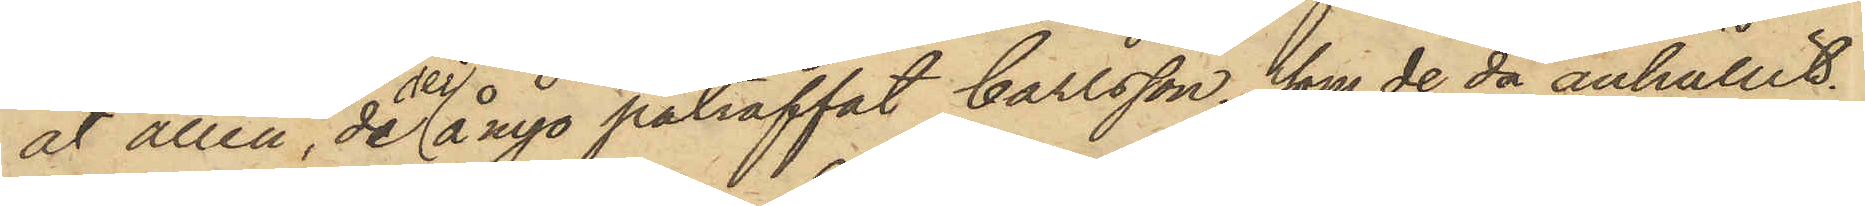åt allén, de der å nyo påträffat Carlsson, som de då anhållit.
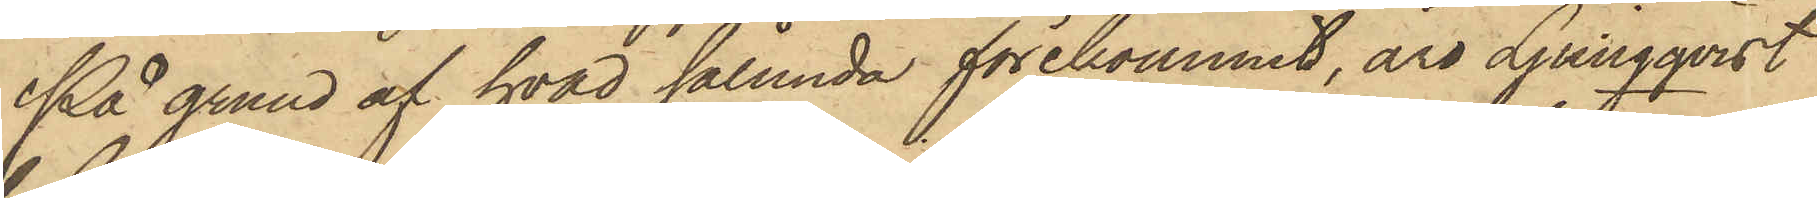På grund af hvad sålunda förekommit, äro Ljungqvist
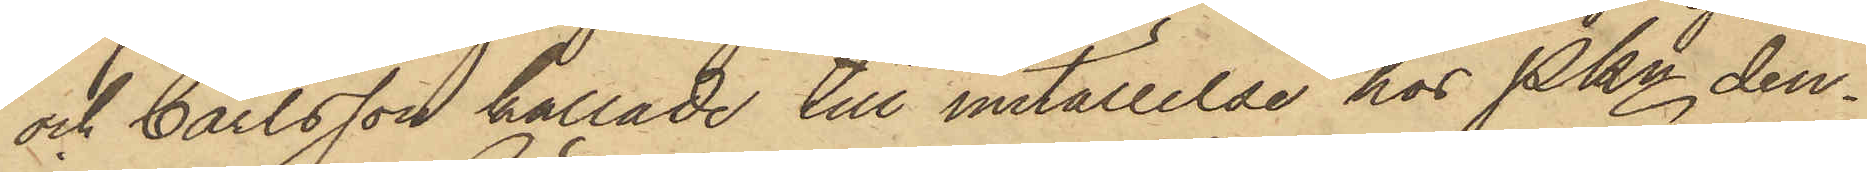och Carlsson kallade till inställelse hos Pkn den¬
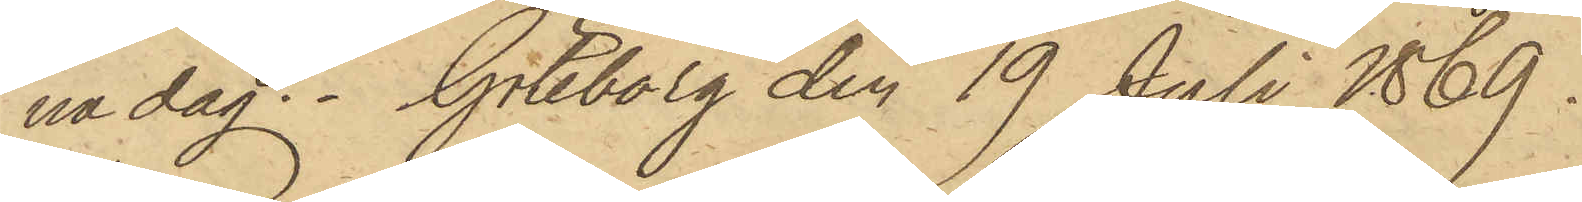na dag. Göteborg den 19 Juli 1869.
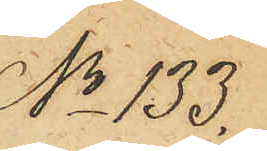No 133.
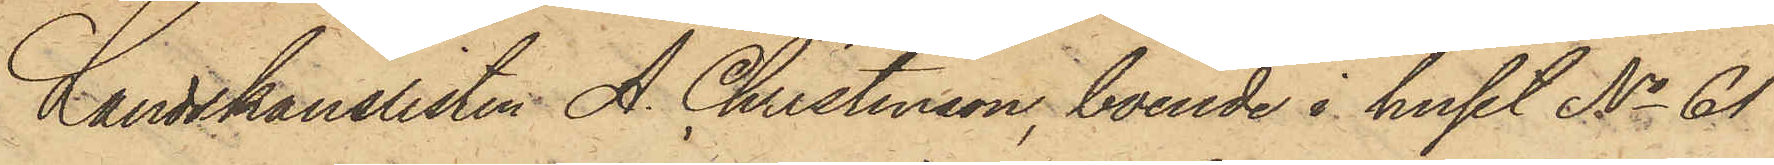Landskanslisten A. Christenson, boende i huset No 61
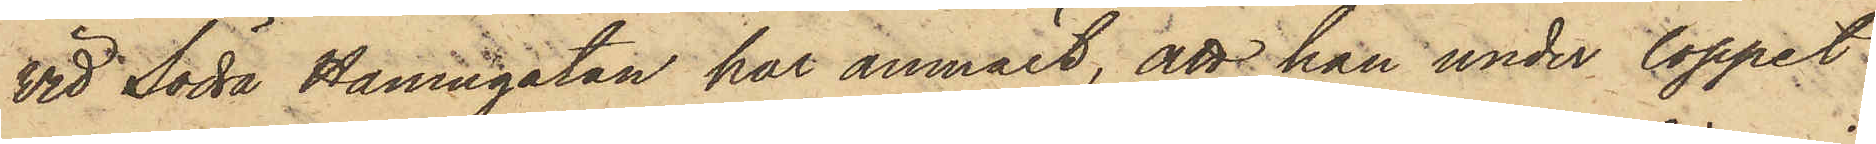vid Södra Hamngatan har anmält, att han under loppet
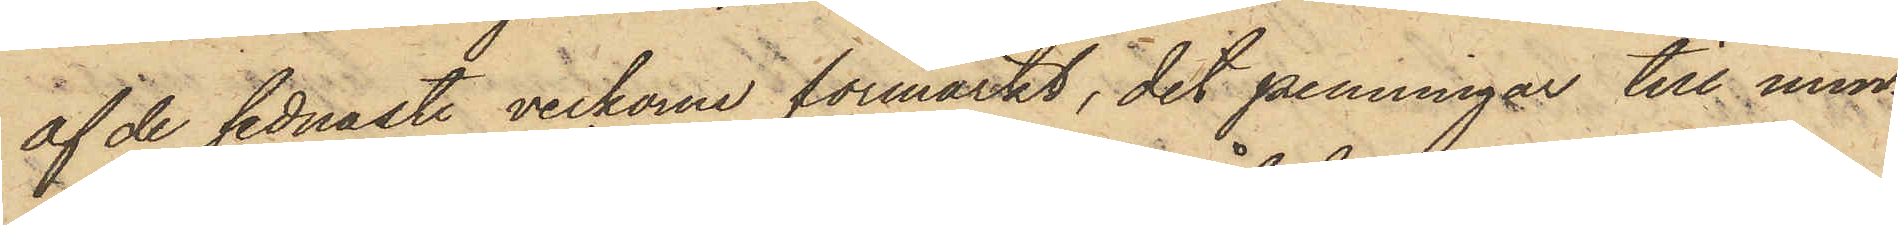af de sednaste veckorne förmärkt, det penningar till min¬
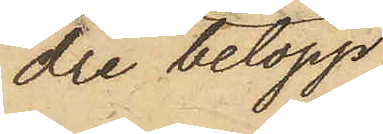dre belopp,
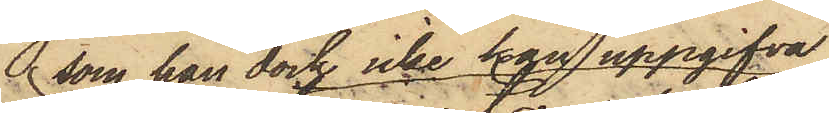som han dock icke han uppgifva
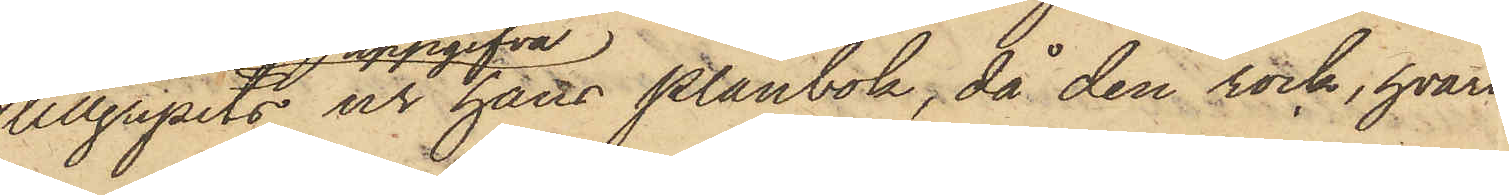tillgripits ur hans plånbok, då den rock, hvari
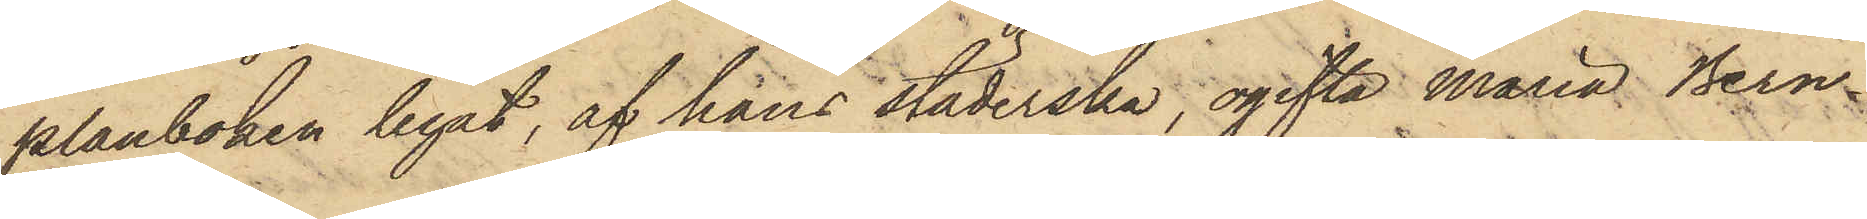plånboken legat, af hans städerska, ogifta Maria Bern¬
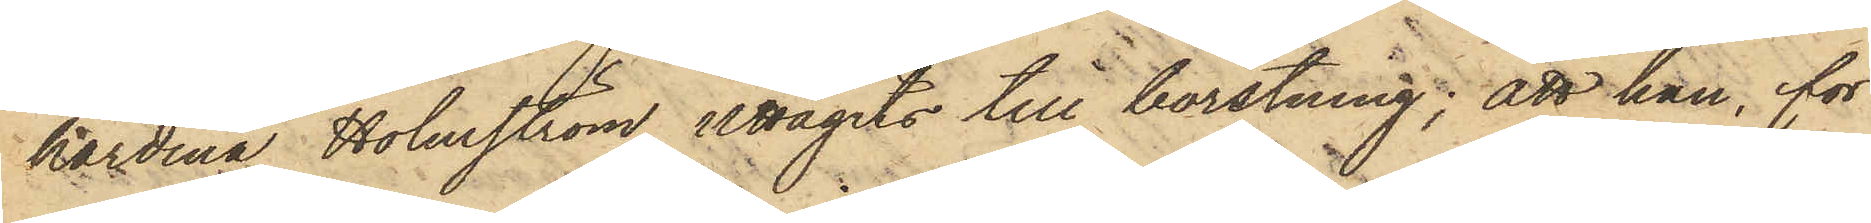hardina Holmström uttagits till borstning; att han, för
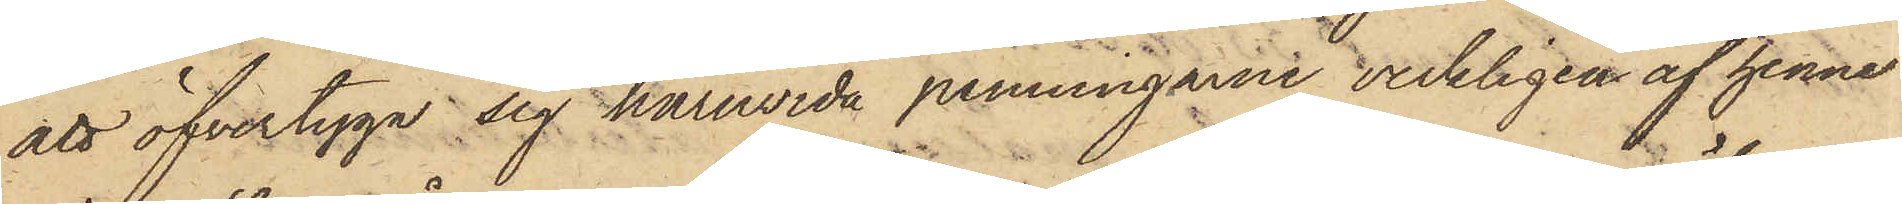att öfvertyga sig huruvida penningarne verkligen af henne
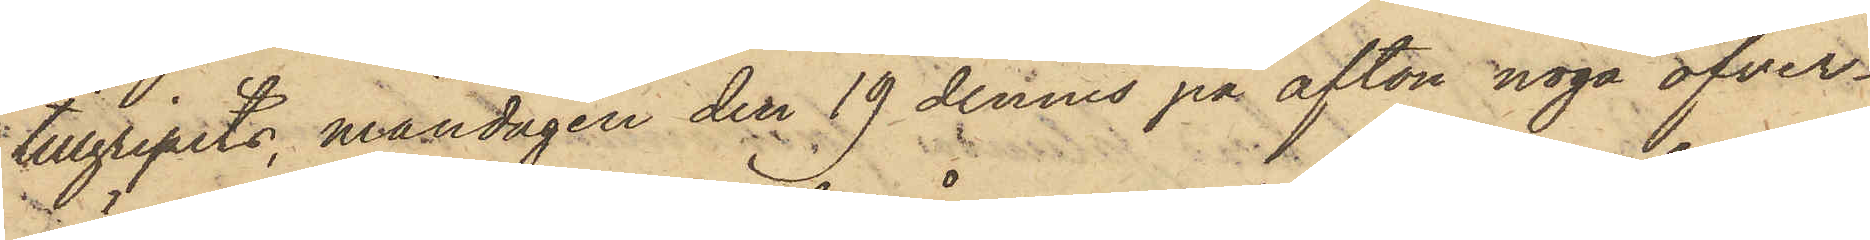tillgripits, måndagen den 19 dennes på afton noga öfver¬
